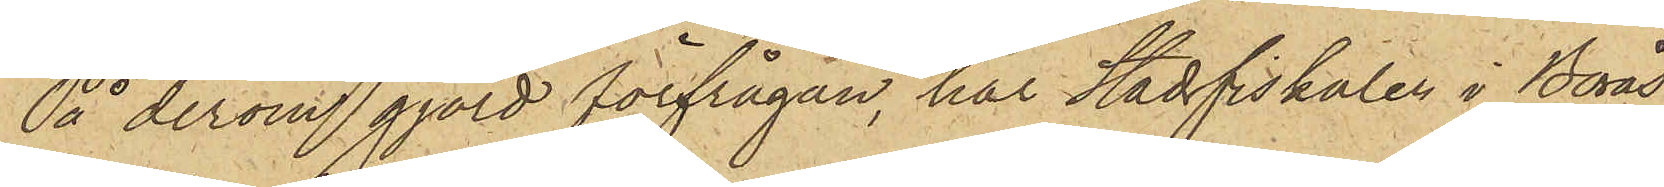På derom gjord förfrågan, har Stadsfiskalen i Borås
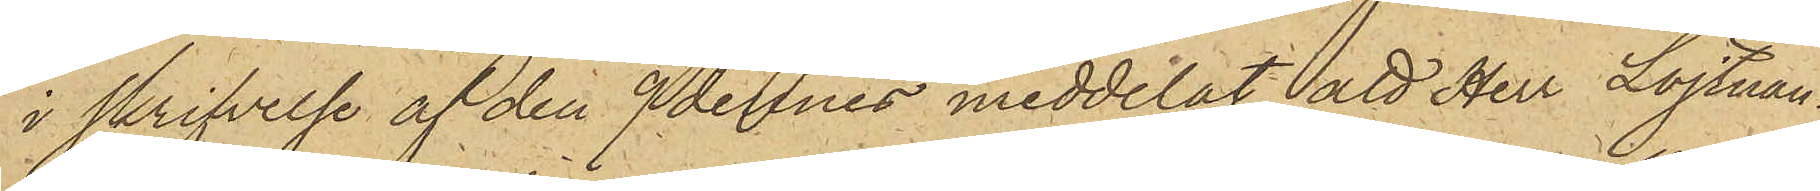i skrifvelse af den 9 dennes meddelat, att Herr Löjtnan¬
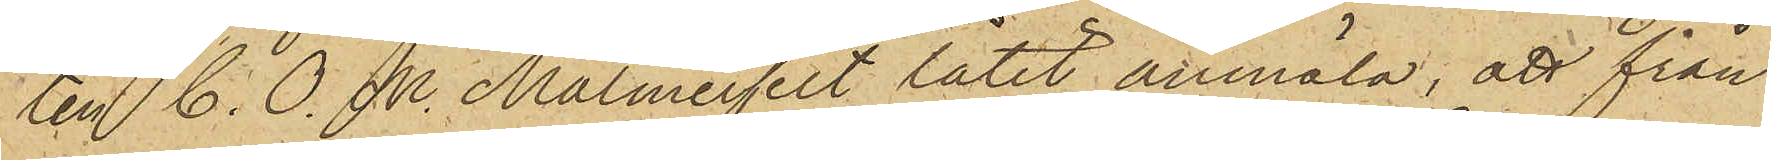ten C. O. M. Malmerfelt låtit anmäla, att från
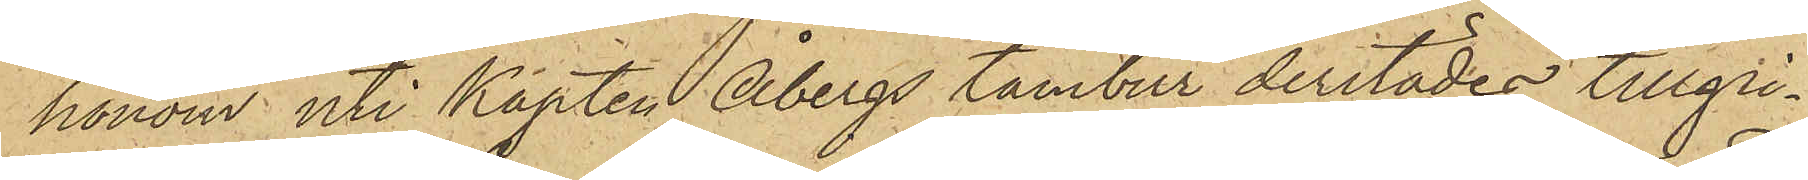honom uti Kapten Åbergs tambur derstädes tillgri¬
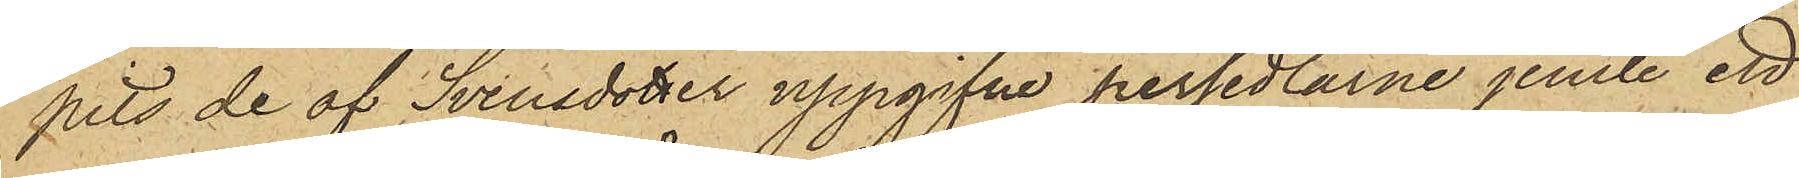pits de af Svensdotter uppgifne persedlarne jemte ett
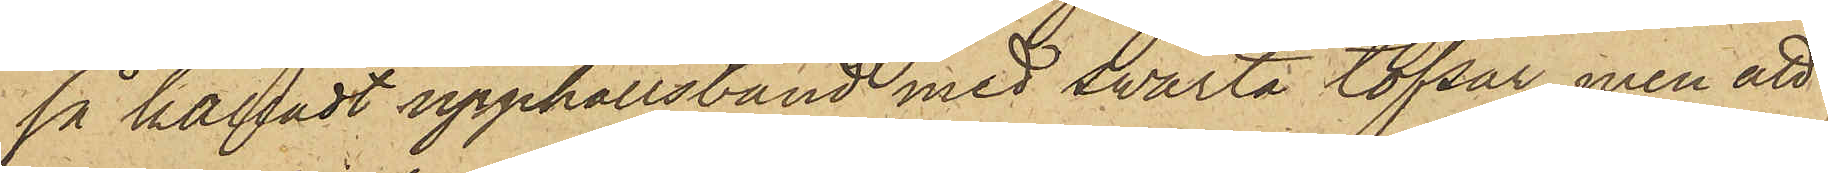så kalladt upphållsband med swarta tofsar, men att
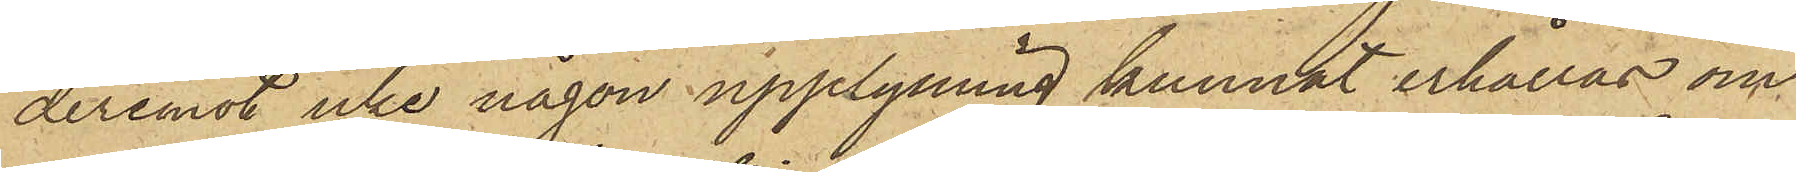deremot icke någon upplysning kunnat erhållas om
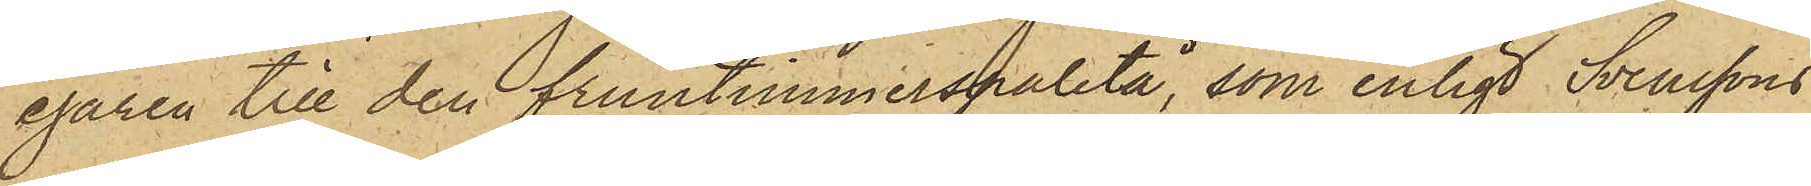egaren till den fruntimmerspaletå, som enligt Svenssons
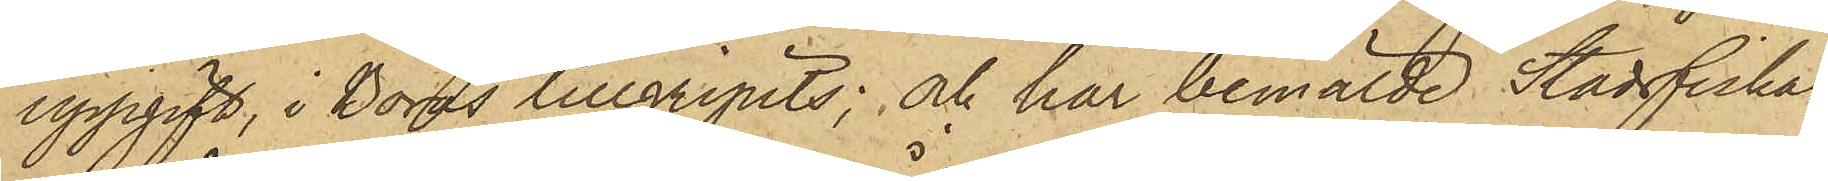uppgift, i Borås tillgripits; och har bemälde Stadsfiskal
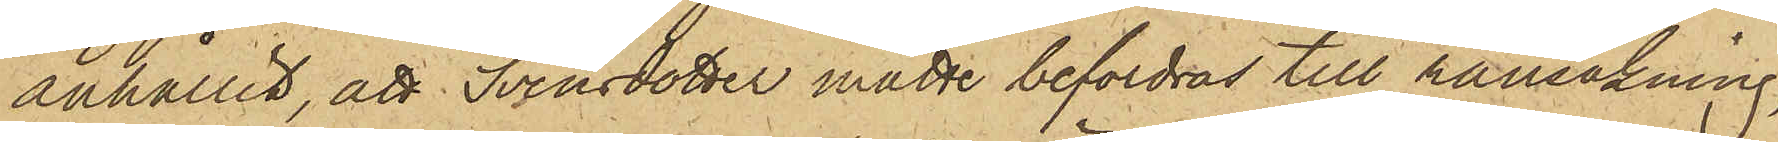anhållit, att Svensdotter måtte befordras till ransakning,
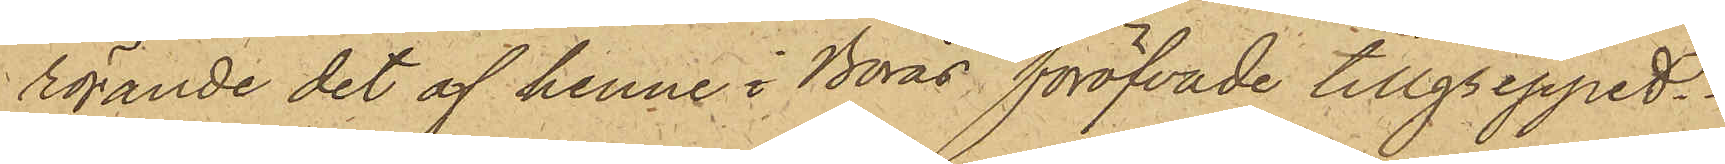rörande det af henne i Borås föröfvade tillgreppet.
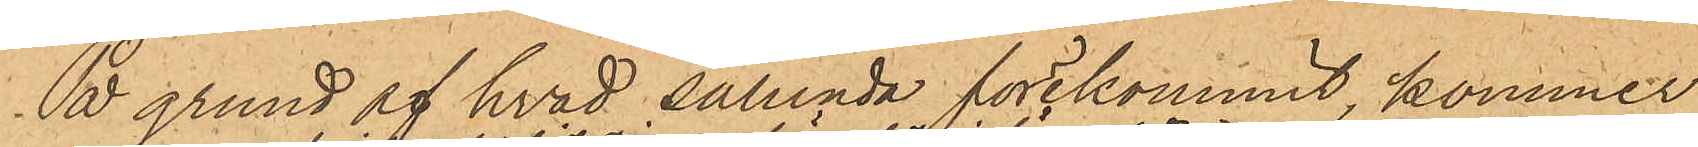På grund af hvad sålunda förekommit, kommer
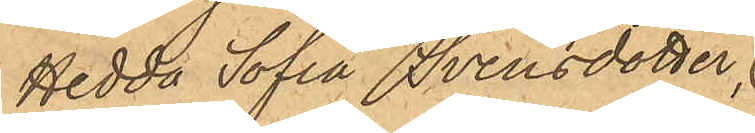Hedda Sofia Svensdotter,
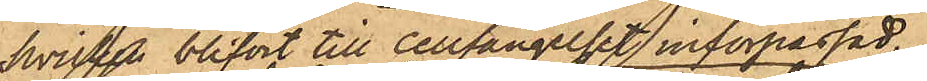hvilken blifvit till Cellfängelset införpassad,
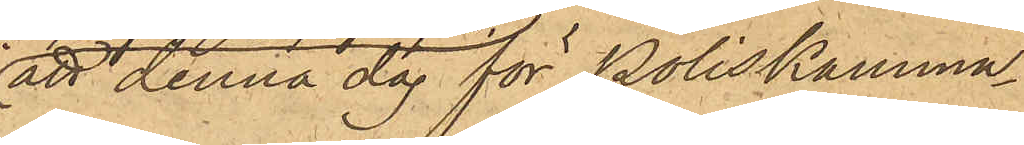att denna dag för Poliskamma¬
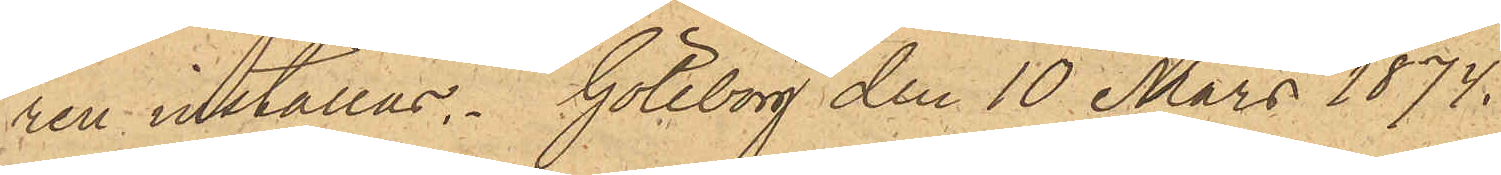ren inställas. Göteborg den 10 Mars 1874.
